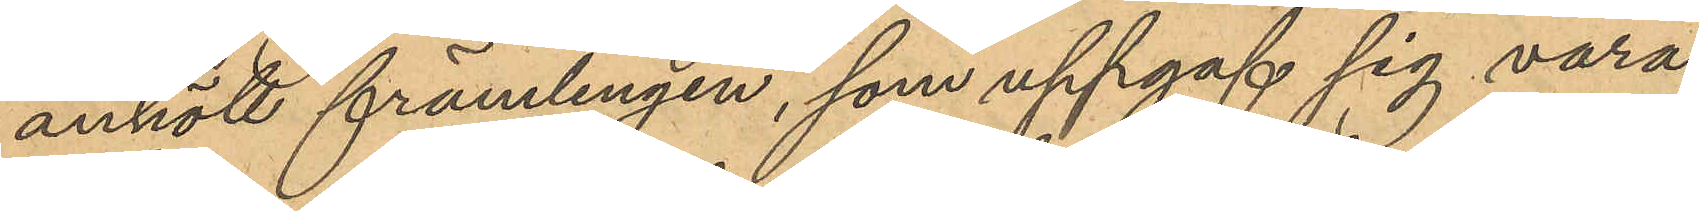anhöll främlingen, som uppgaf sig vara
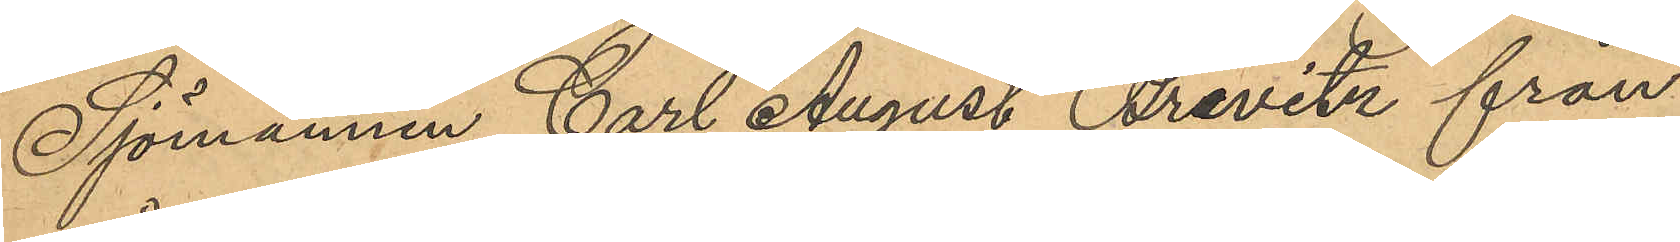Sjömannen Carl August Brevitz från
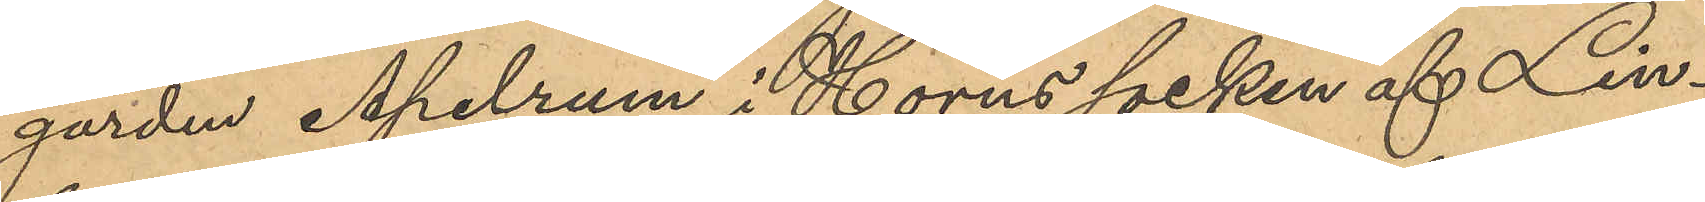gården Apelrum i Horns socken af Lin¬
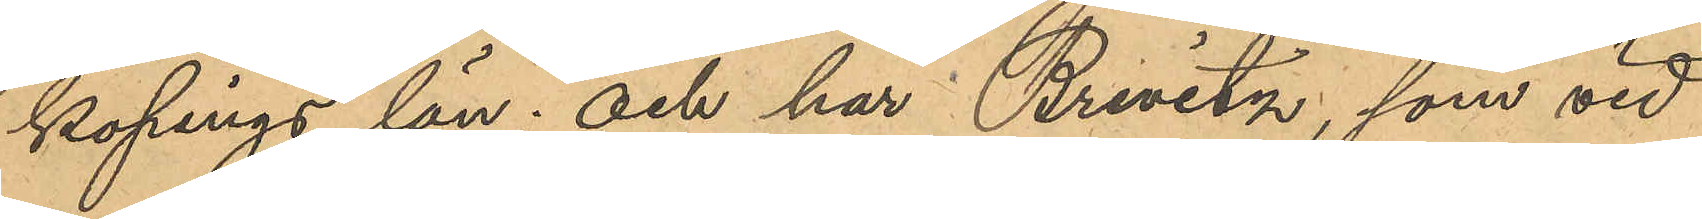kopings län; och har Brewitz, som vid
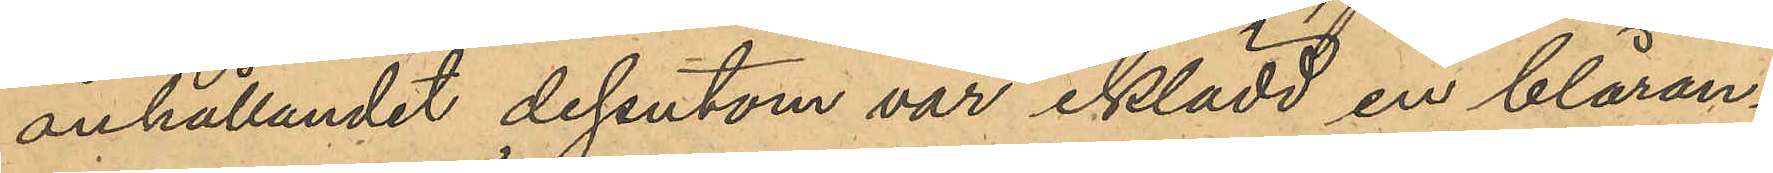anhållandet dessutom var iklädd en blåran¬
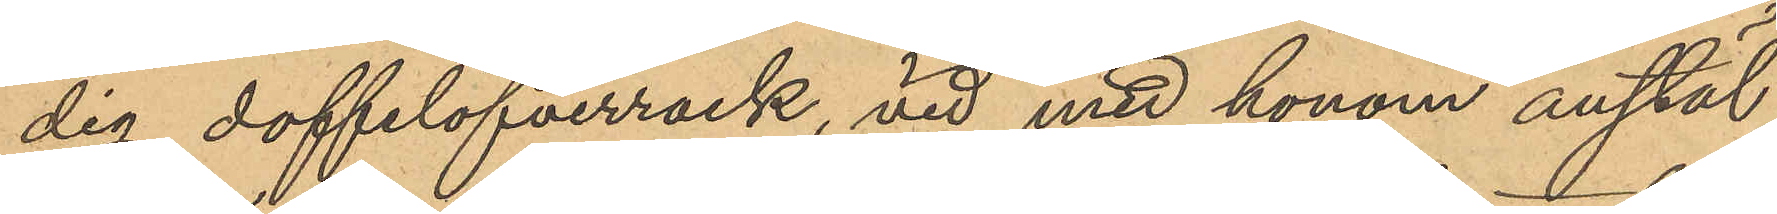dig doffelöfverrock, vid med honom anstäl¬
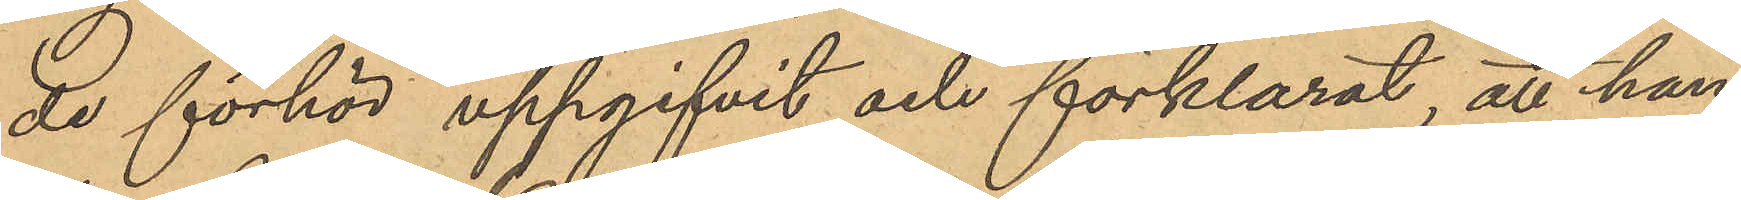de förhör uppgifvit och förklarat, att han,
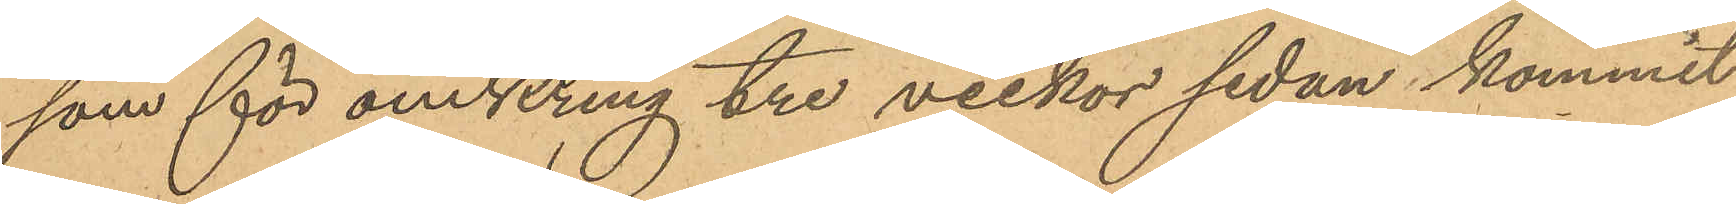som för omkring tre veckor sedan kommit
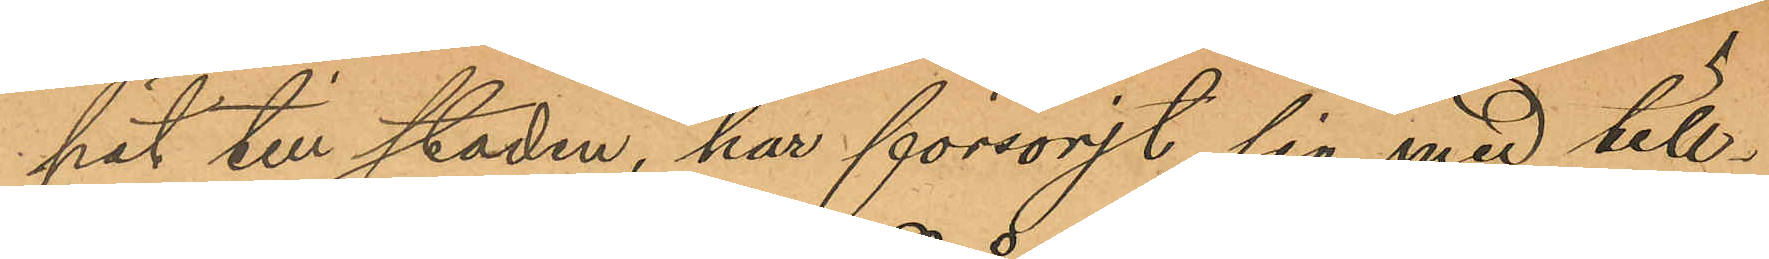hit till staden, har försörjt sig med till¬
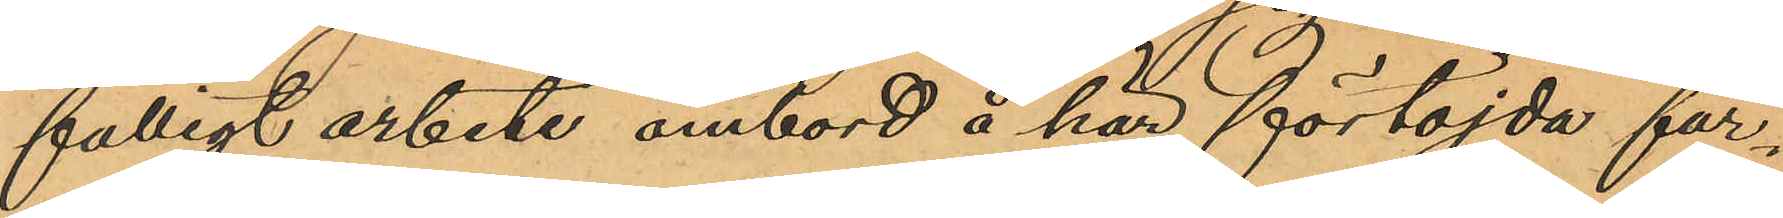fälligt arbete ombord å här förtöjda far¬
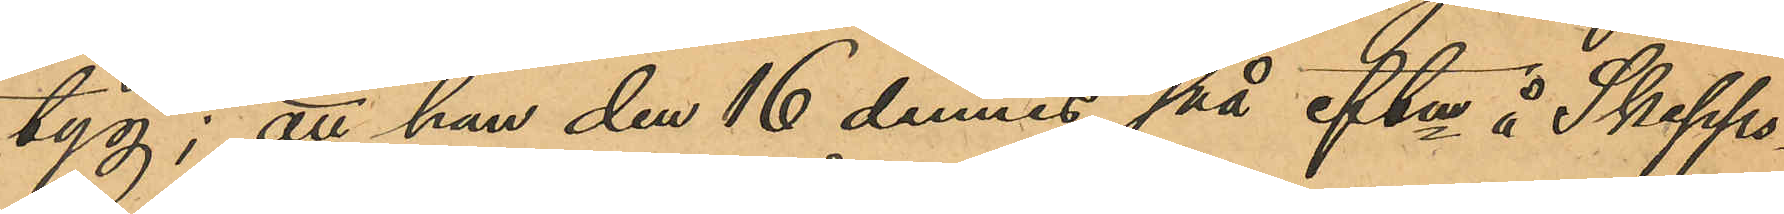tyg; att han den 16 dennes på eftm å Skepps¬
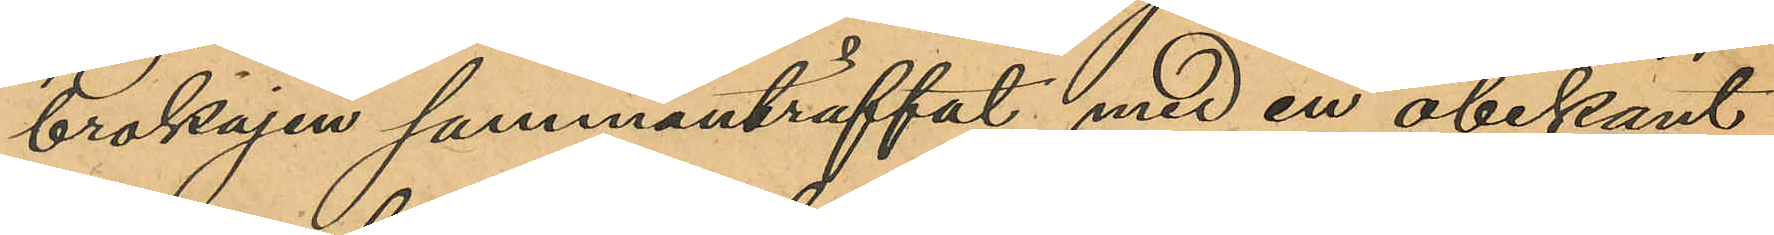brokajen sammanträffat med en obekant
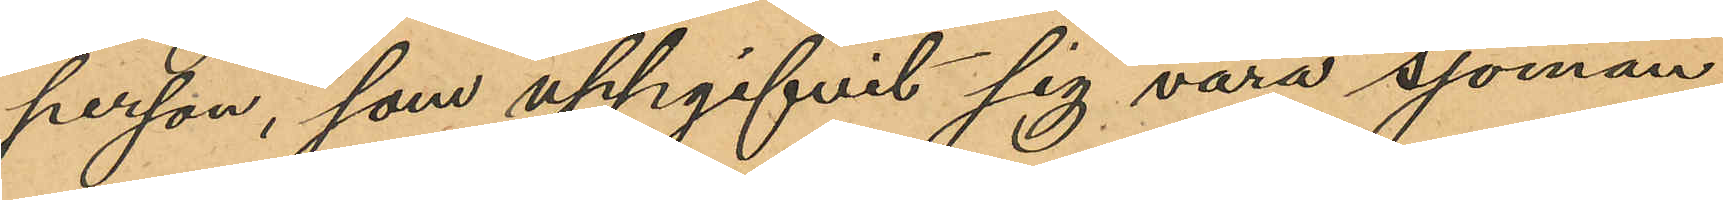person, som uppgifvit sig vara sjöman
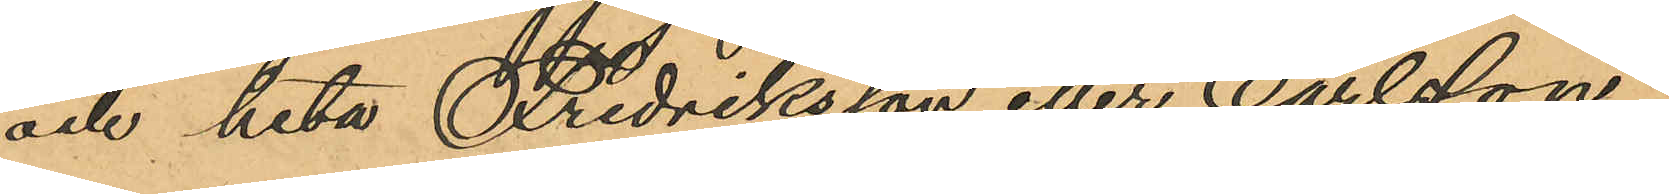och heta Fredriksson eller Carlsson;
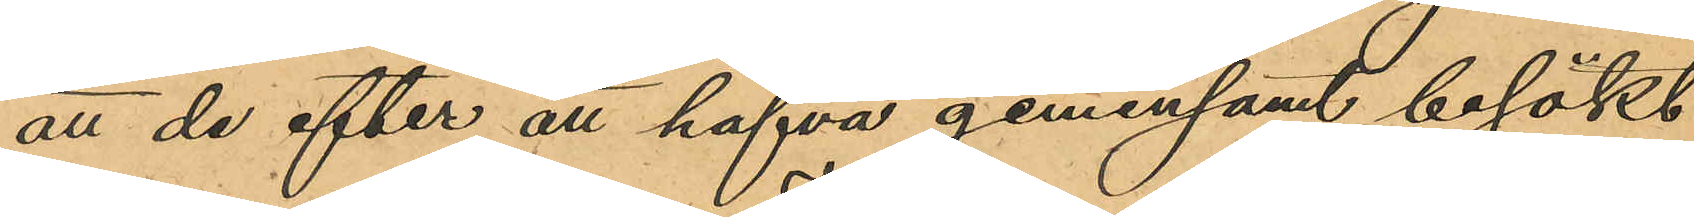att de efter att hafva gemensamt besökt
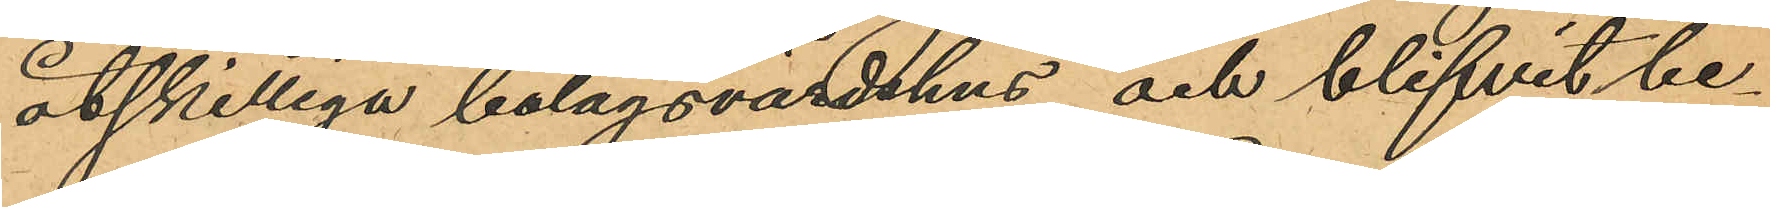åtskilliga bolagsvärdshus och blifvit be¬
